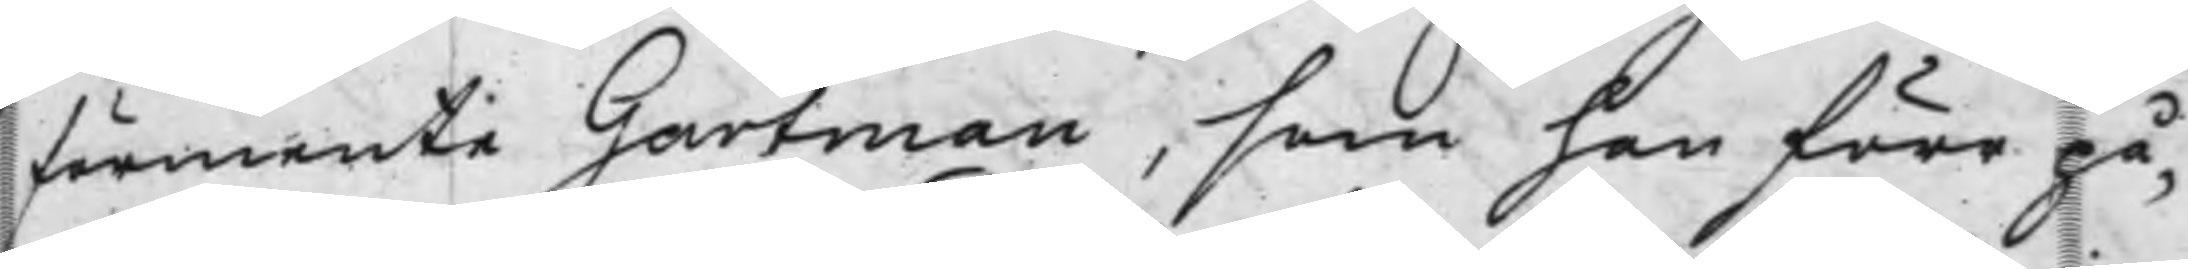förmente Gartman, som han förr på¬
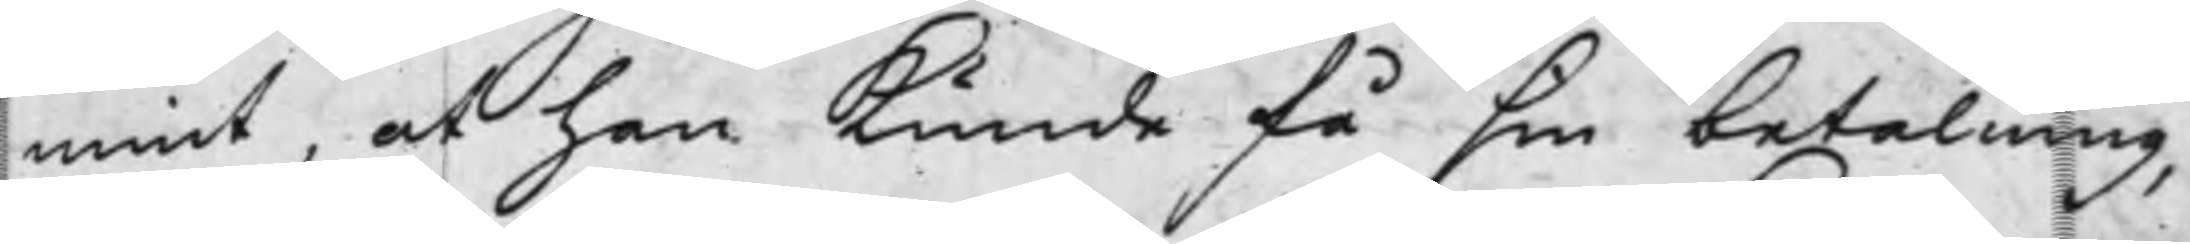mint, at han kunde få sin betalning,
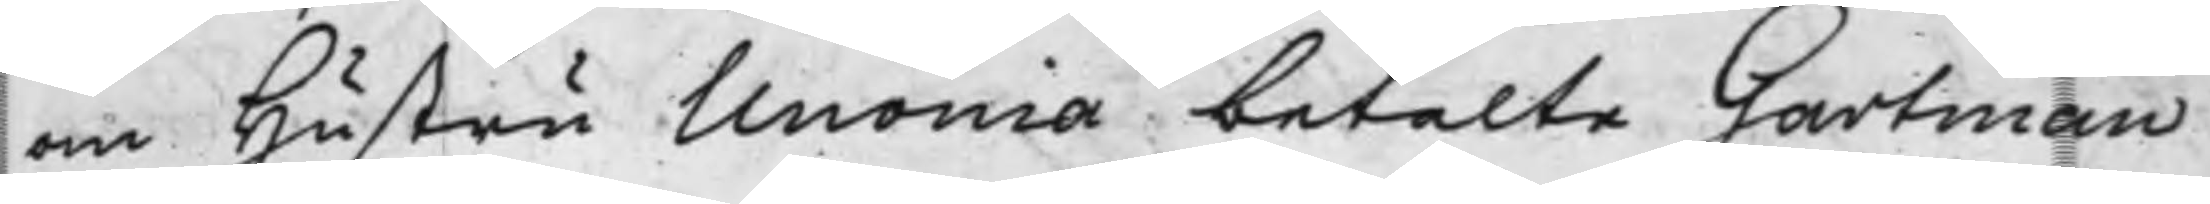om Hustru Unonia betalte Gartman
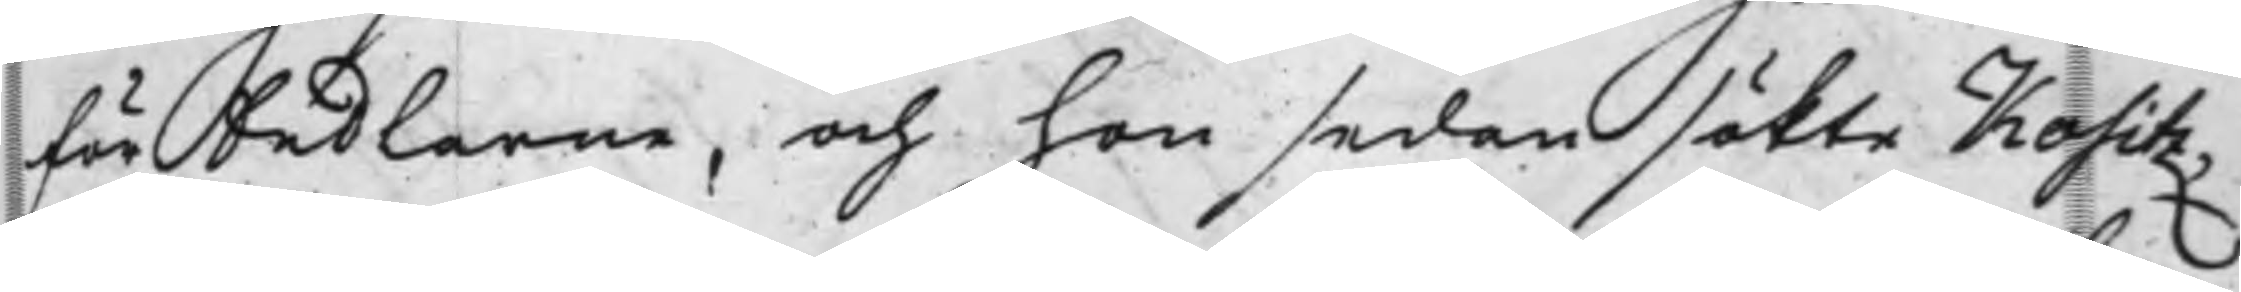förkedlarne, och hon sedan sökte Kositz¬
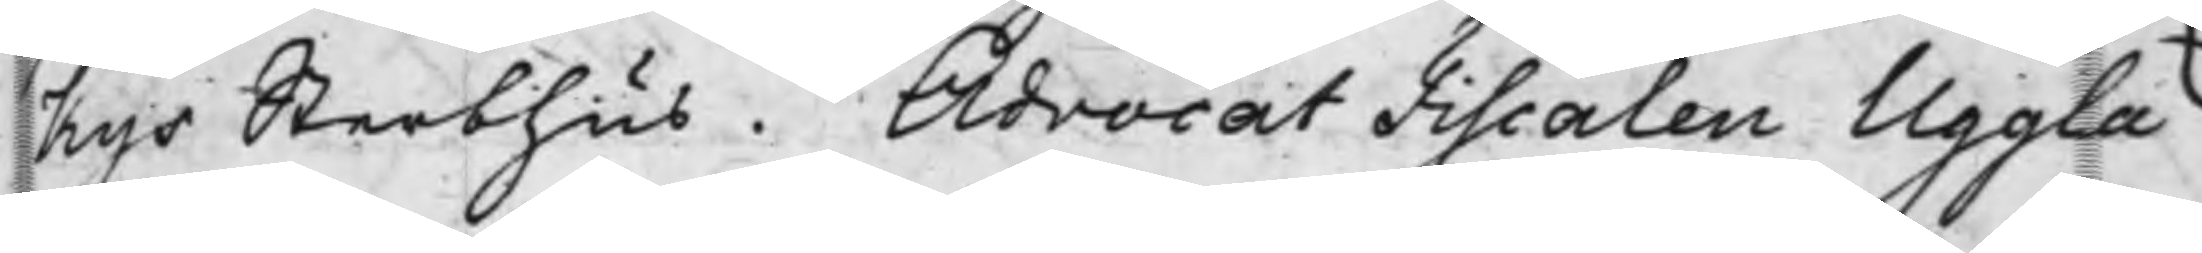Kys Sterbhus. Advocat Fiscalen Uggla
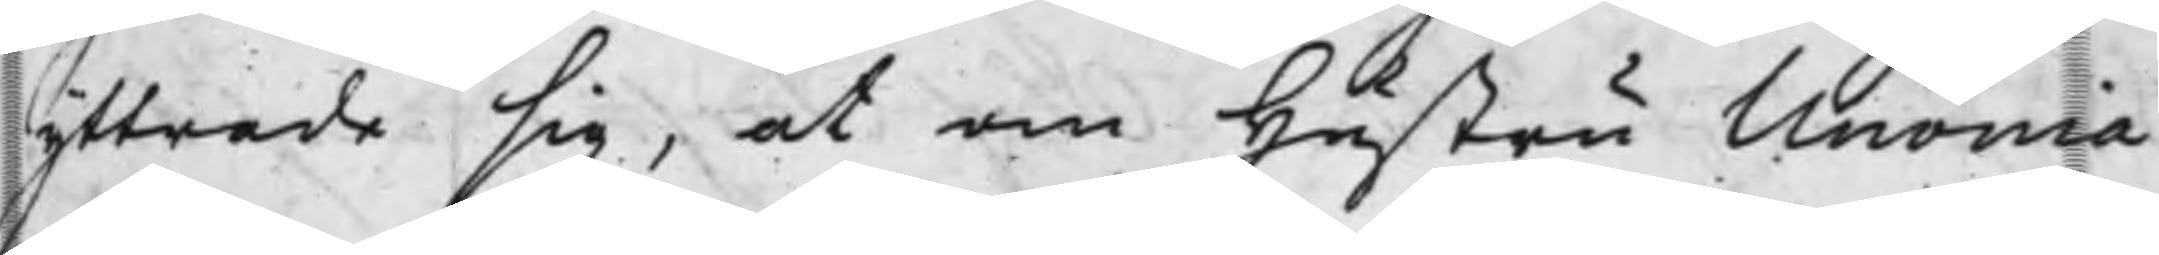yttrade sig, at om hustru Unonia
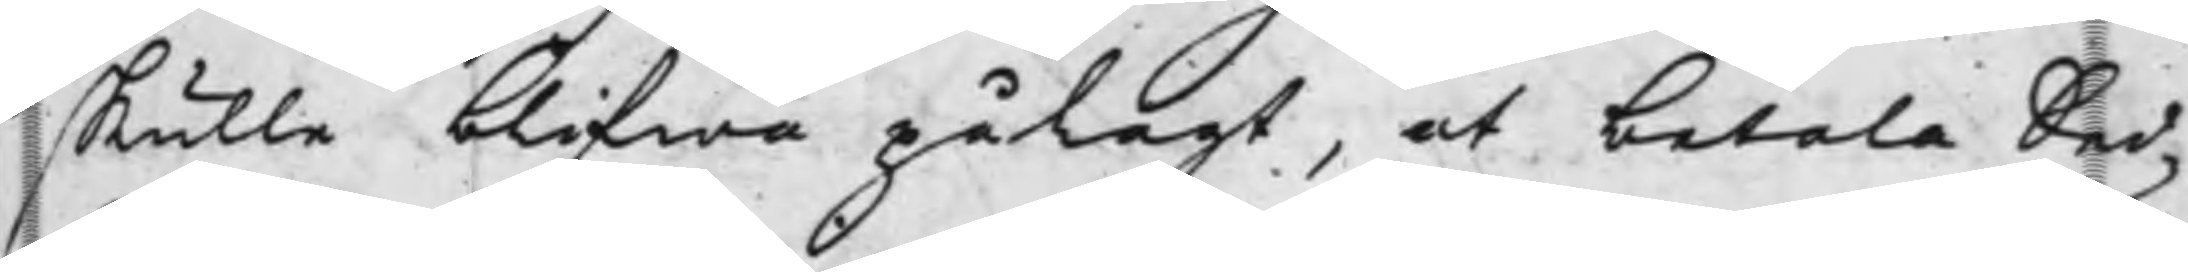skulle blifwa pålagt, at betala Sed¬
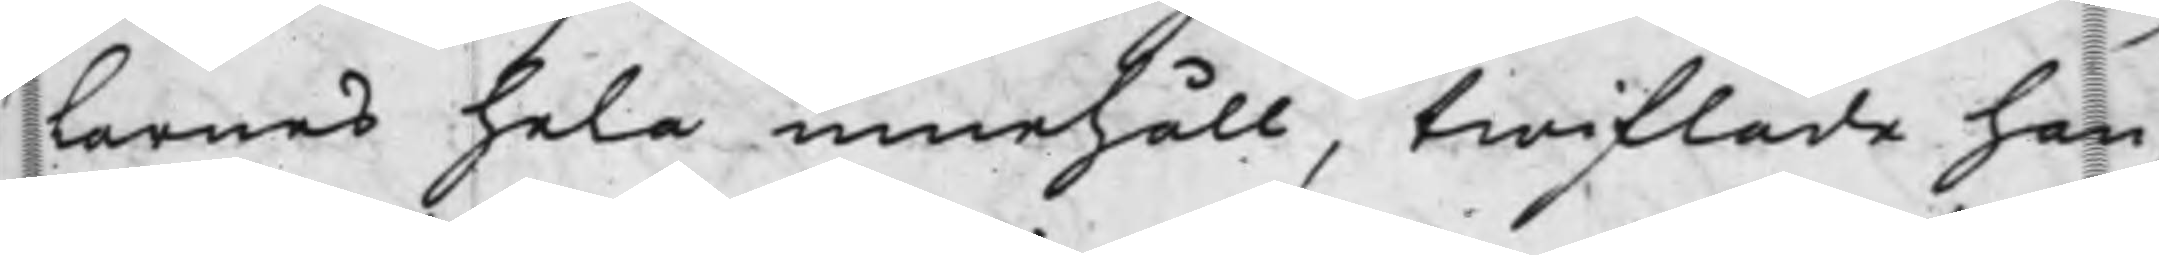farnes hela innehåll, twiflade han
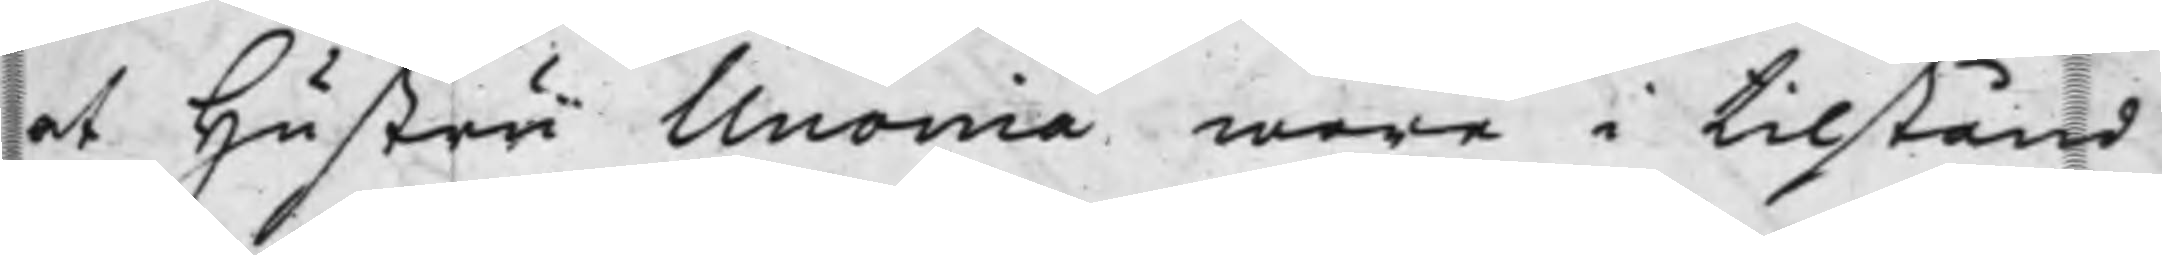at Hustru Unonia wore i tilstånd
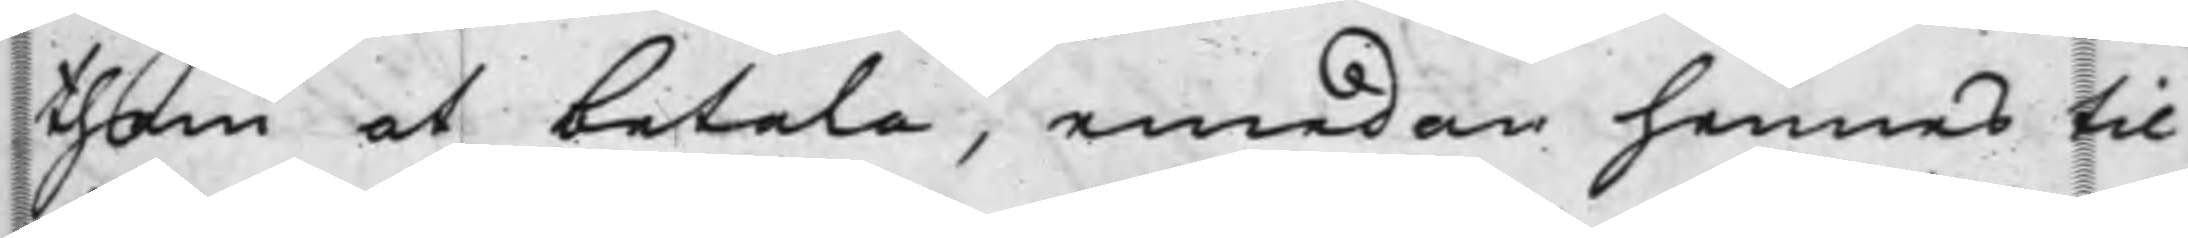them at betala, emedan hennes til¬
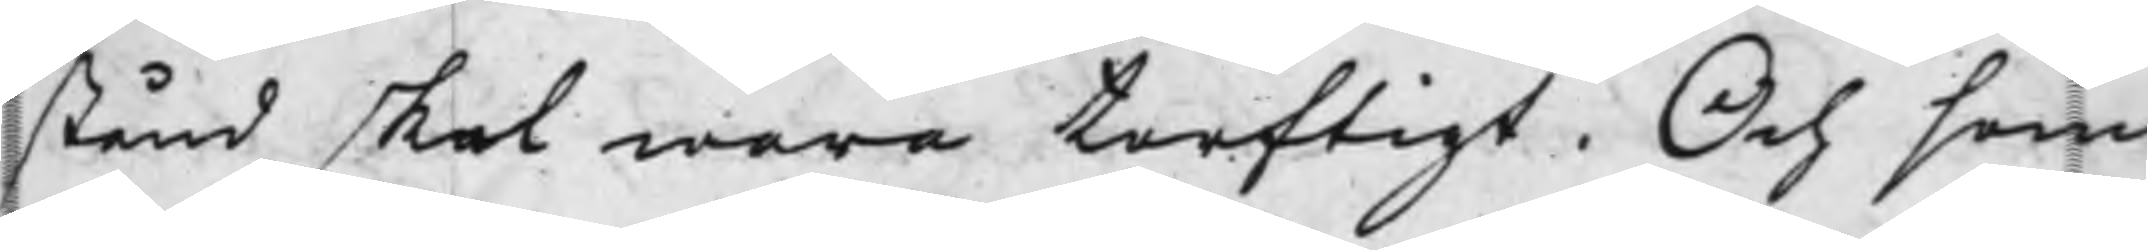stånd skal wara torftigt. Och som
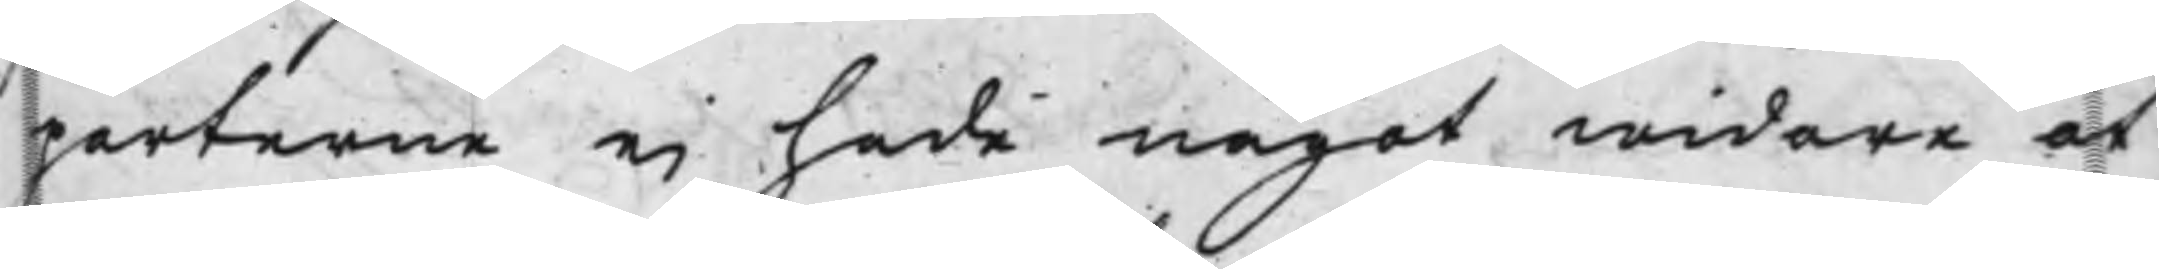parterne ei hade något widare at
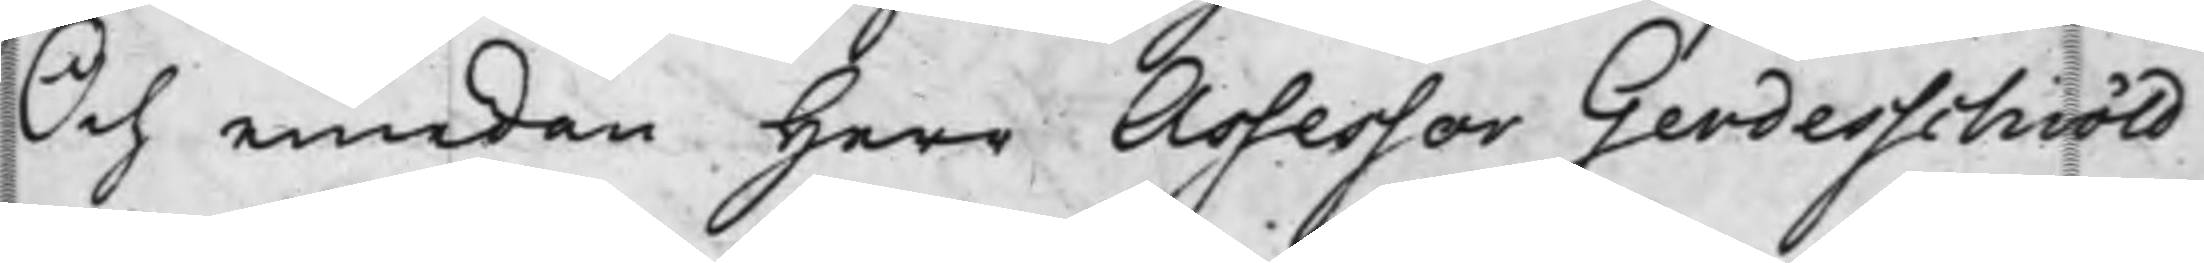Och emedan Herr Assessor Gerdesschiöld
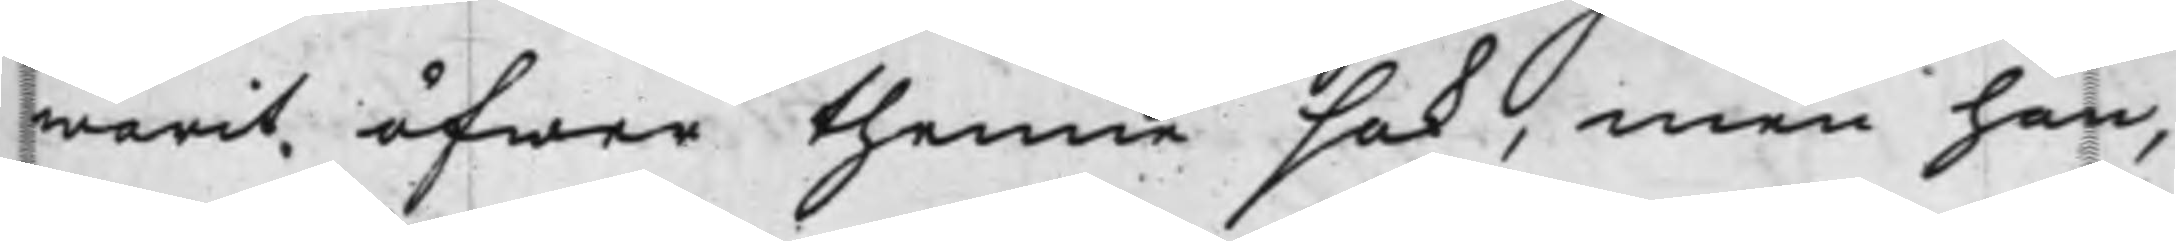warit öfwer thenne sak, men han,
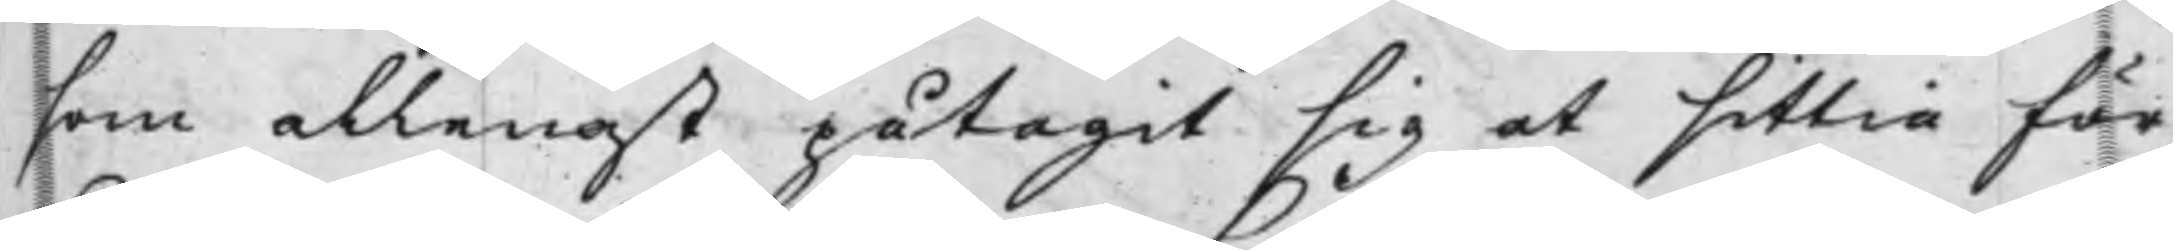som allenast påtagit sig at sittia för
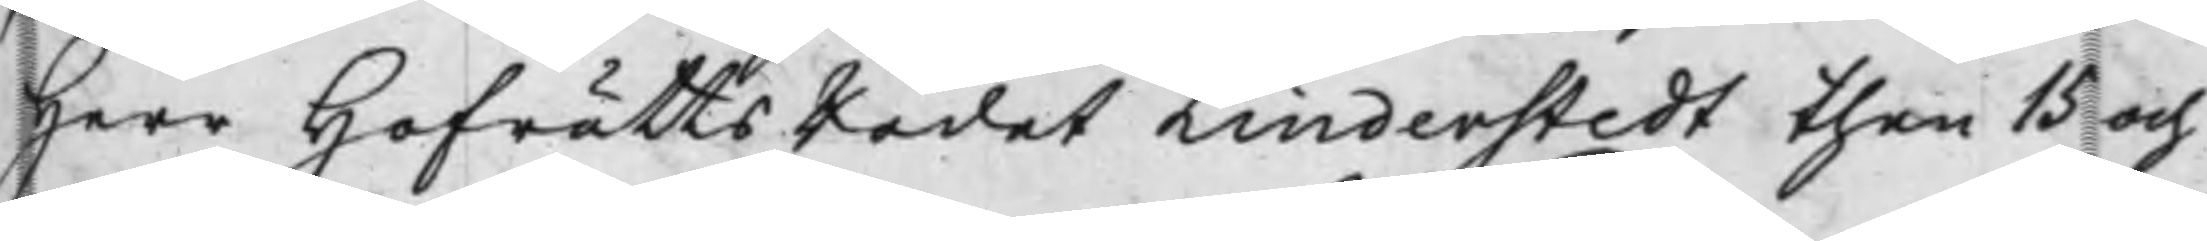Herr HofrättsRådet Linderstedt then 15 och
